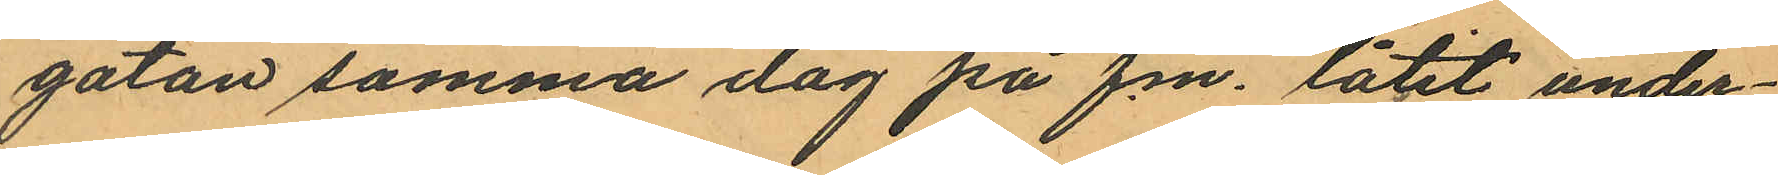gatan samma dag på f.m. låtit under¬
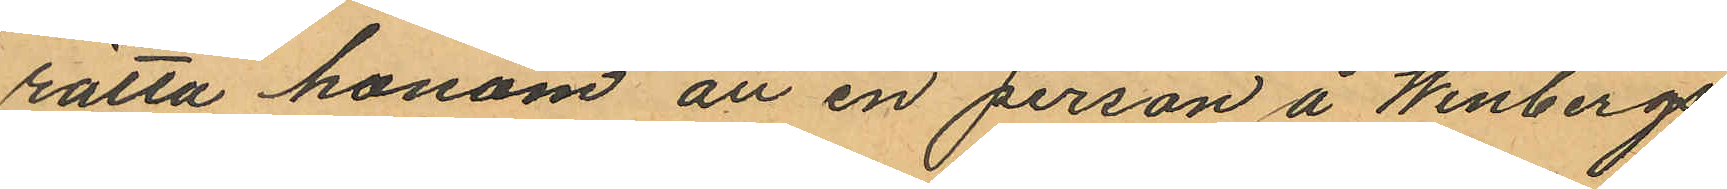rätta honom att en person å Winbergs
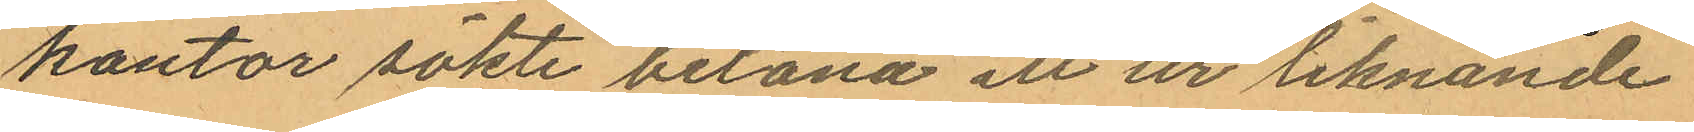kontor sökte belåna ett ur liknande
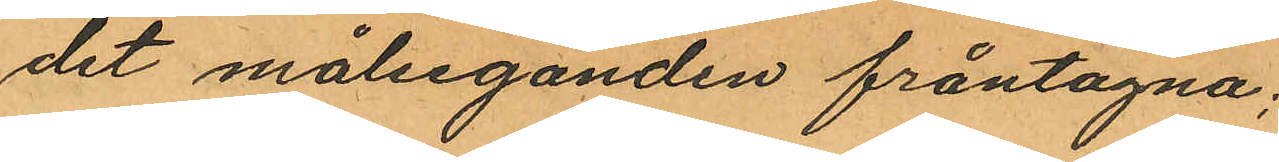det målseganden fråntagna;
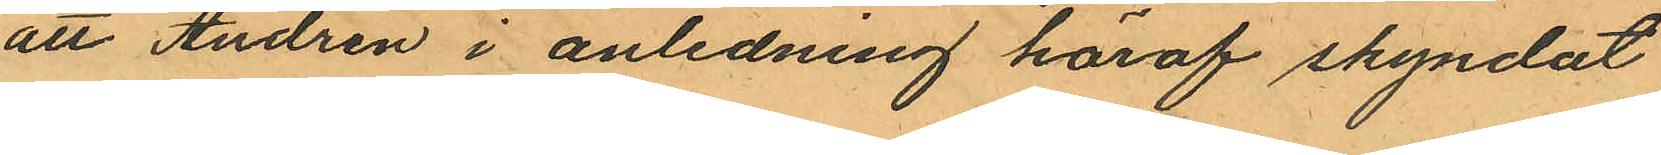att Andren i anledning häraf skyndat
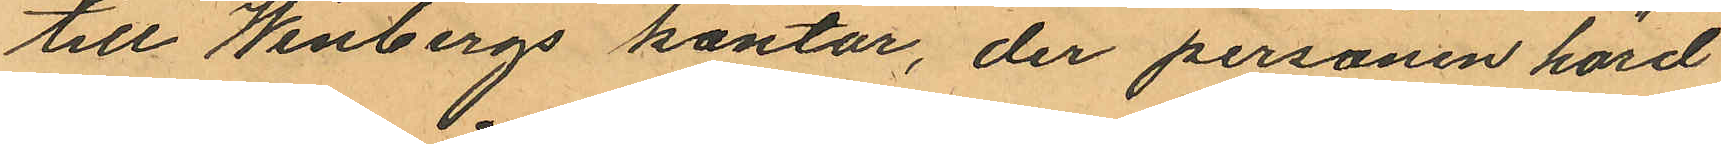till Winbergs kontor, der personen hörd
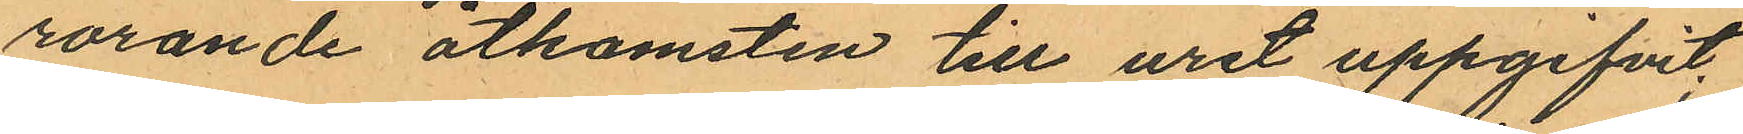rörande åtkomsten till uret uppgifvit;
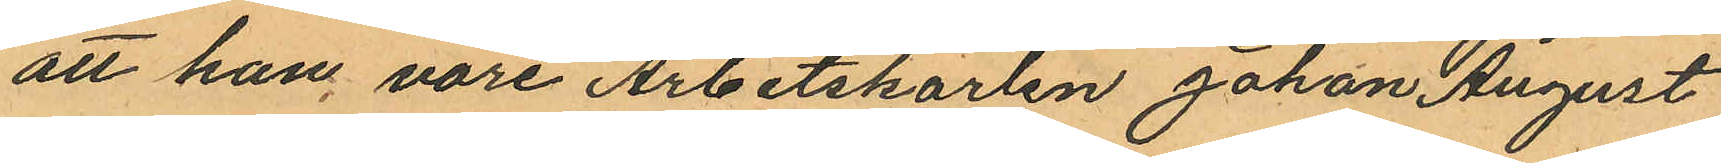att han vore Arbetskarlen Johan August
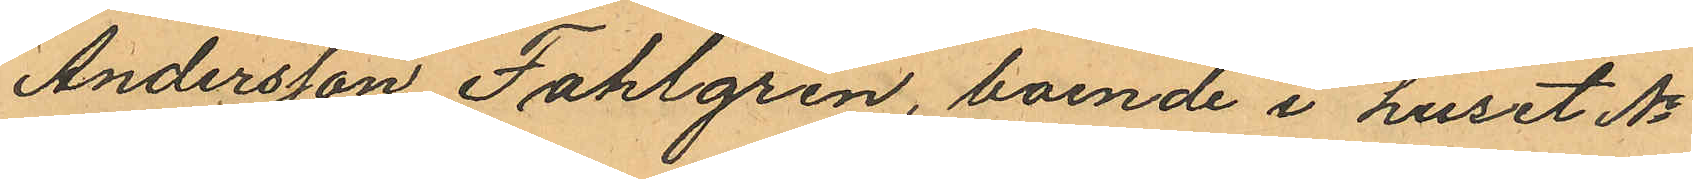Andersson Fahlgren, boende i huset No
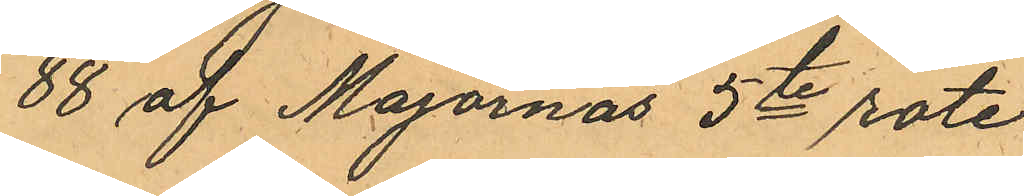88 af Majornas 5te rote
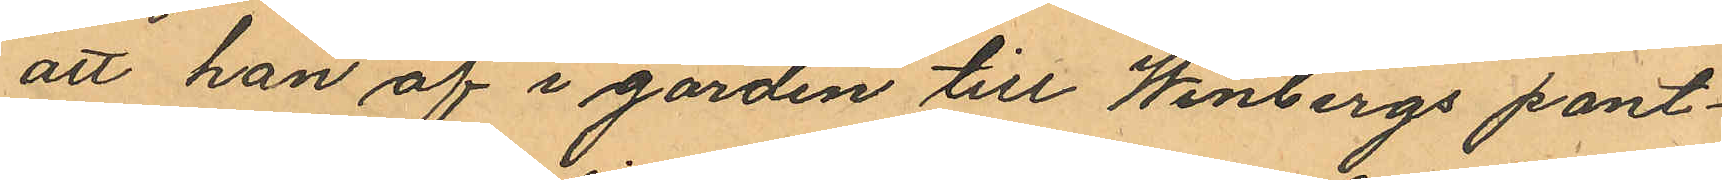att han af i gården till Winbergs pant¬
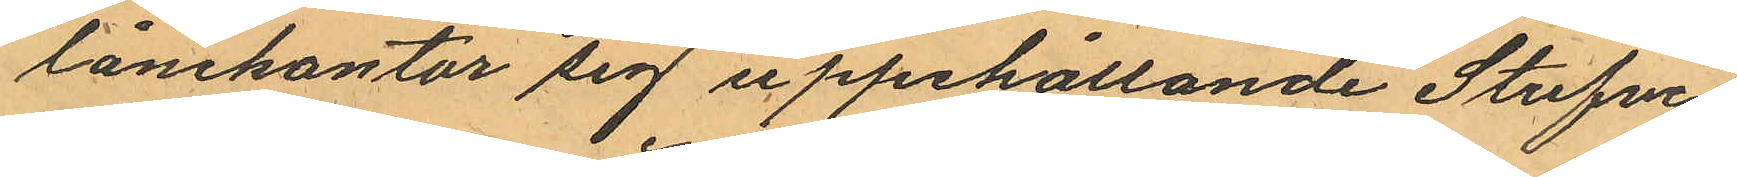lånekontor sig uppehållande Stufve¬
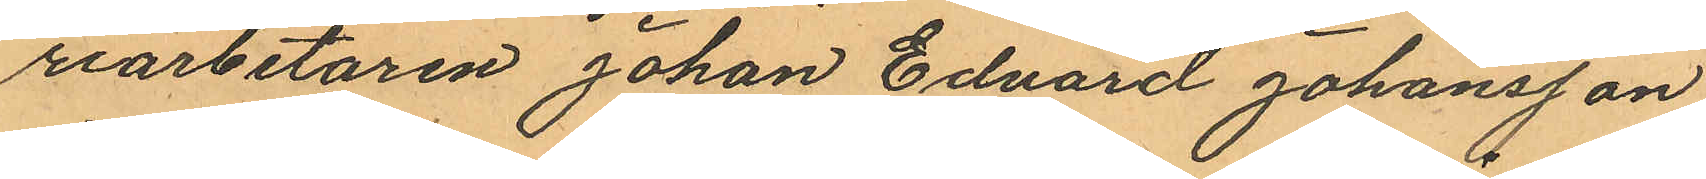riarbetaren Johan Edvard Johansson
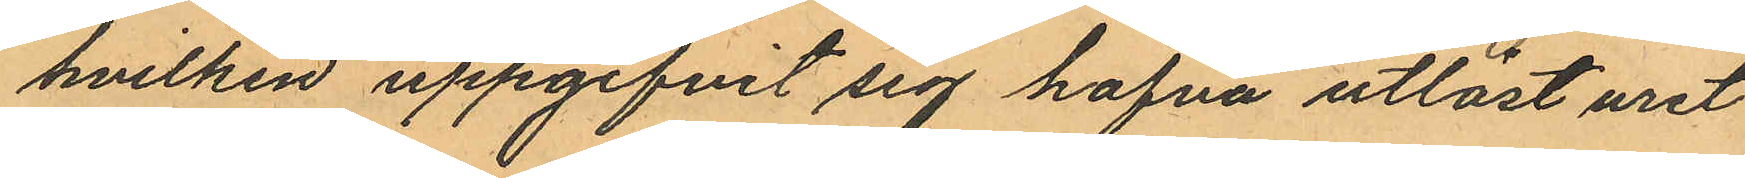hvilken uppgifvit sig hafva utlöst uret
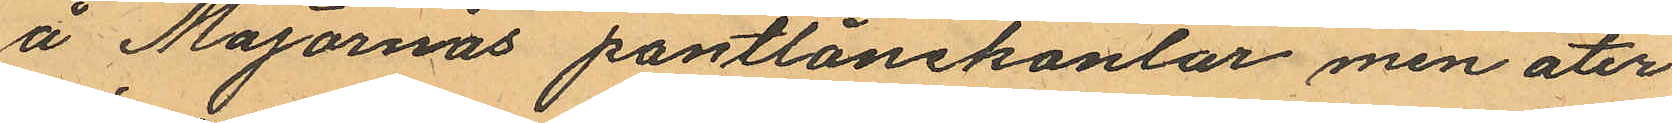å Majornas pantlånekontor men åter
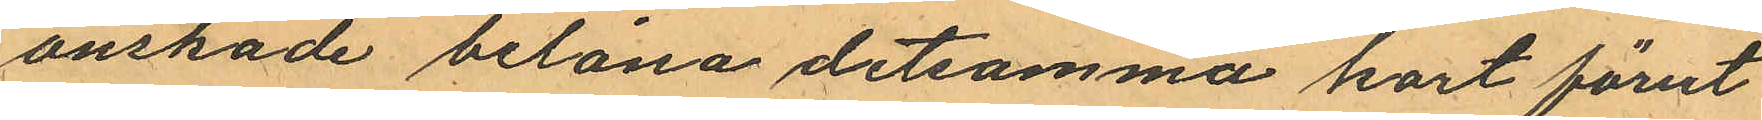önskade belåna detsamma kort förut
